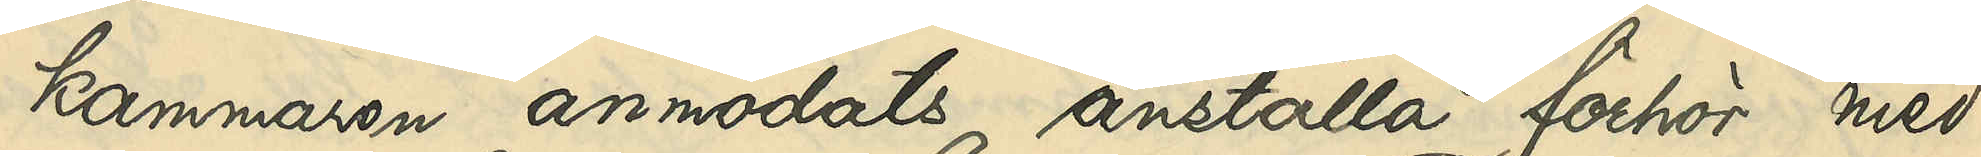kammaren anmodats anställa förhör med
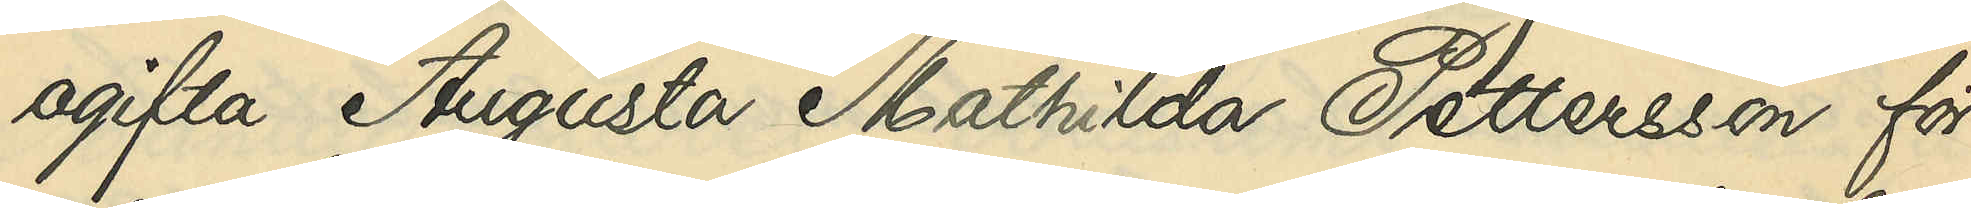ogifta Augusta Mathilda Pettersson för
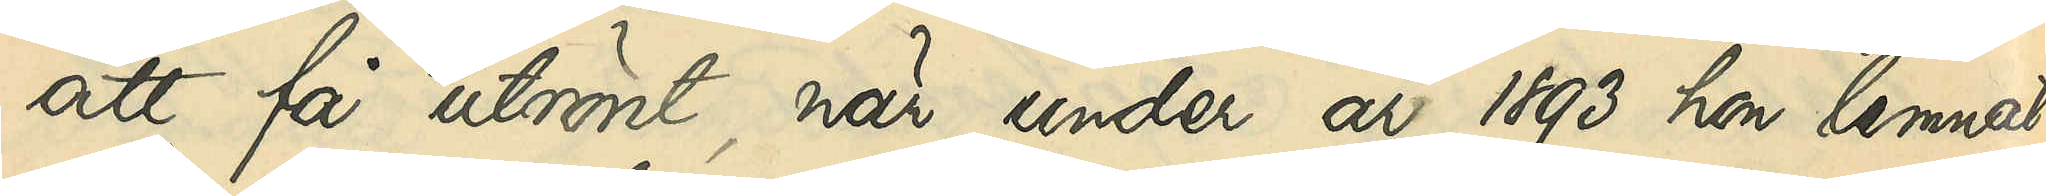att få utrönt, när under år 1893 hon lemnat
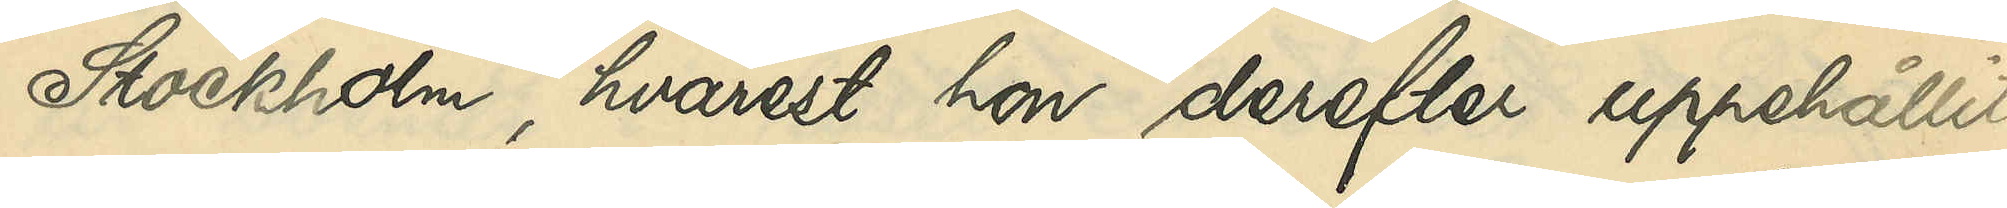Stockholm, hvarest hon derefter uppehållit
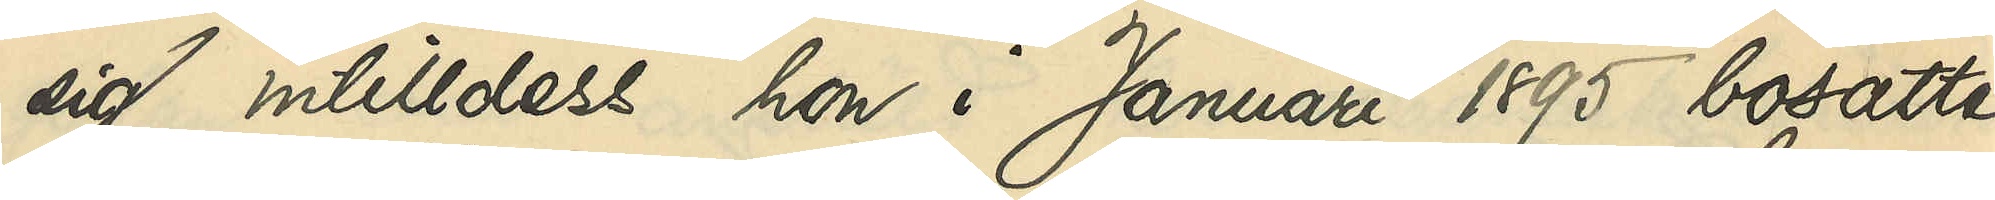sig intilldess hon i Januari 1895 bosatte
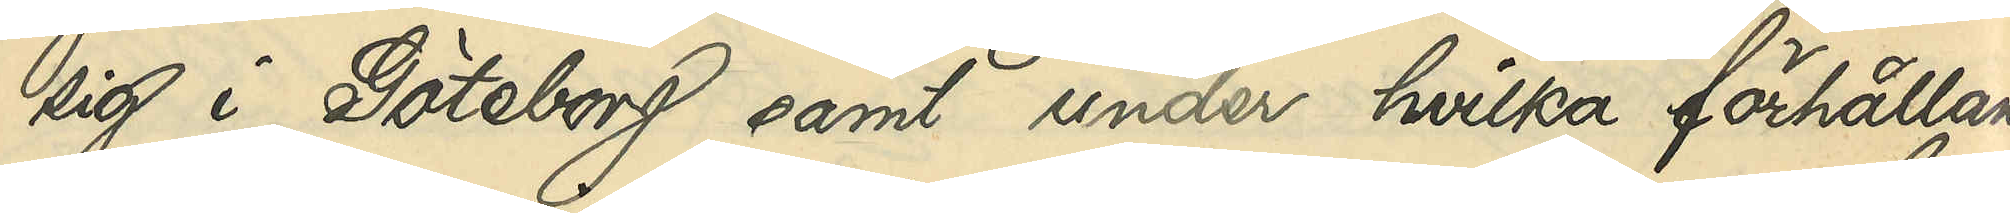sig i Göteborg samt under hvilka förhållan¬
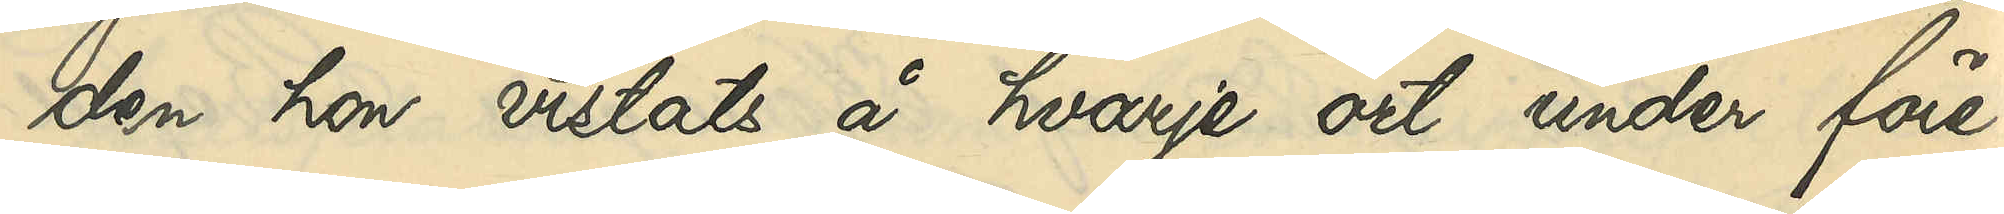den hon vistats på hvarje ort under före¬
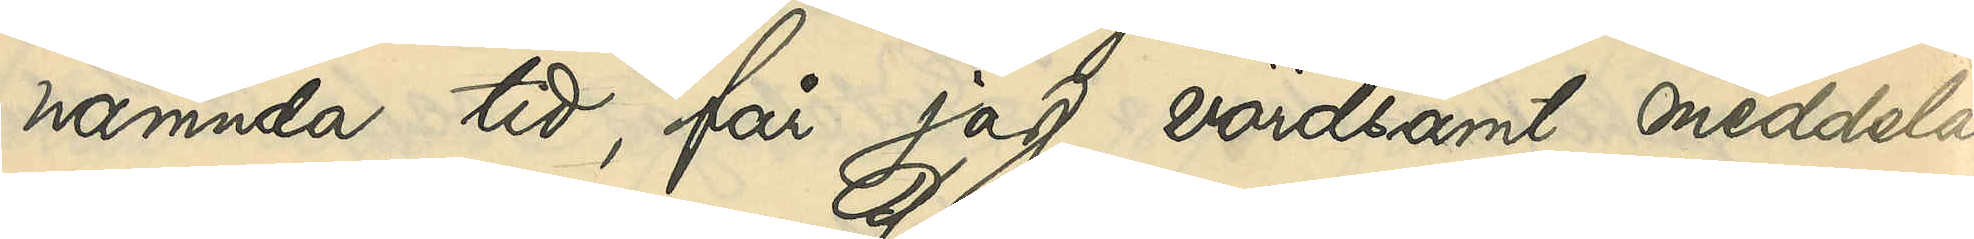nämda tid, får jag vördsamt meddela,
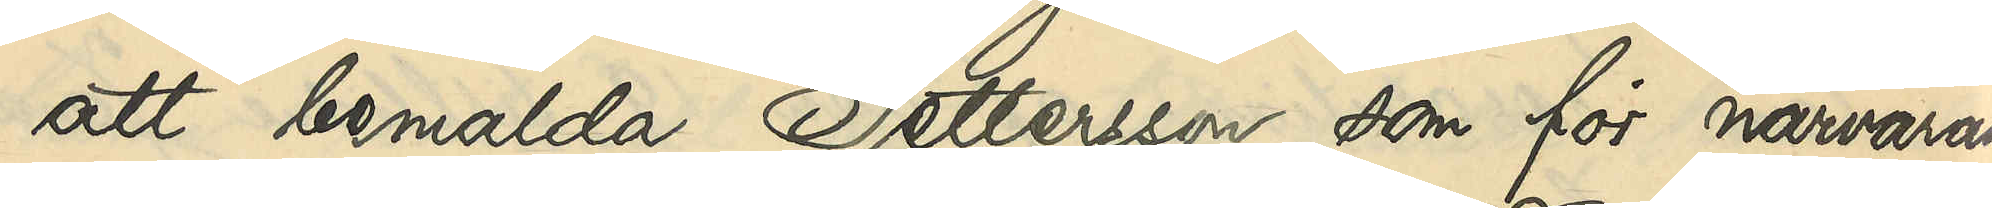att bemälda Pettersson, som för närvaran¬
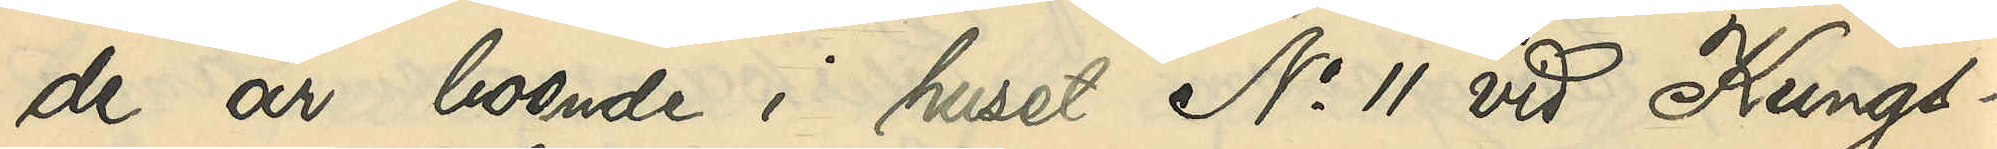de är boende i huset No 11 vid Kungs¬
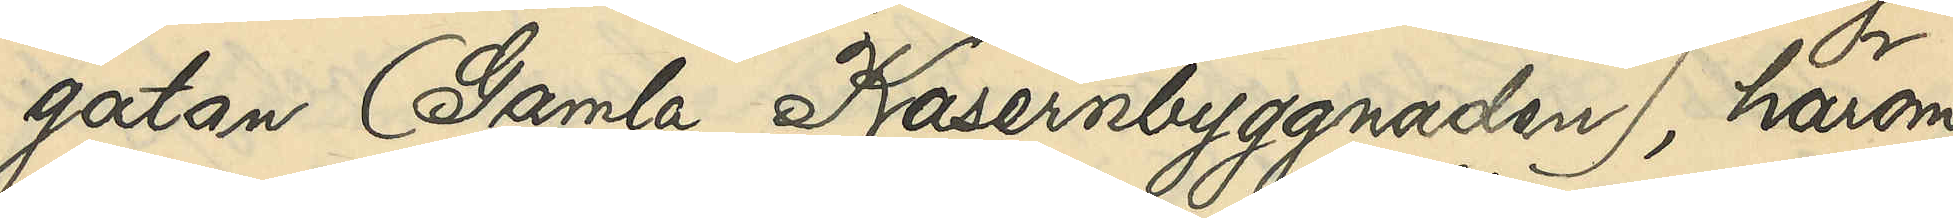gatan (Gamla Kasernbyggnaden), härom
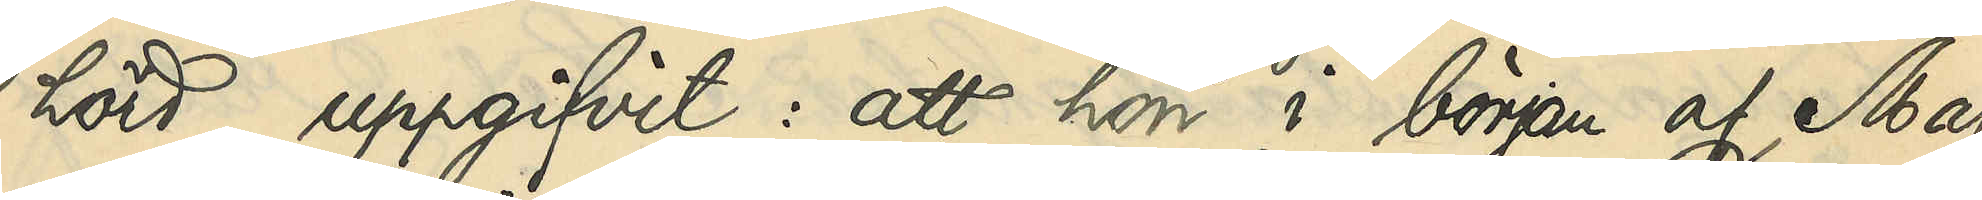hörd, uppgifvit: att hon i början af Maj
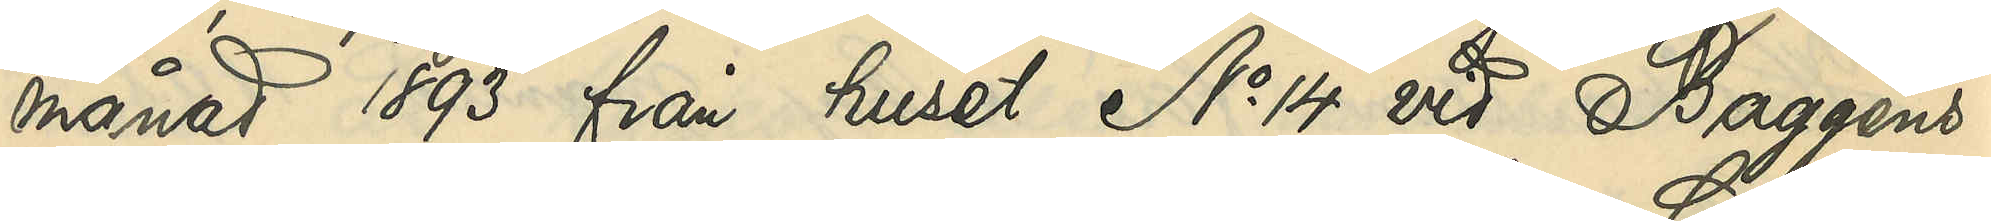månad 1893 från huset No 14 vid Baggens¬
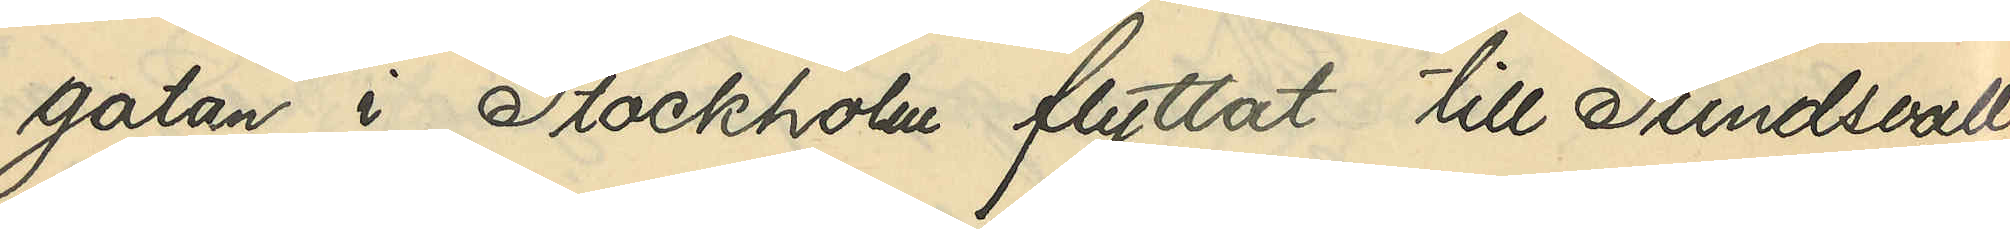gatan i Stockholm flyttat till Sundsvall,
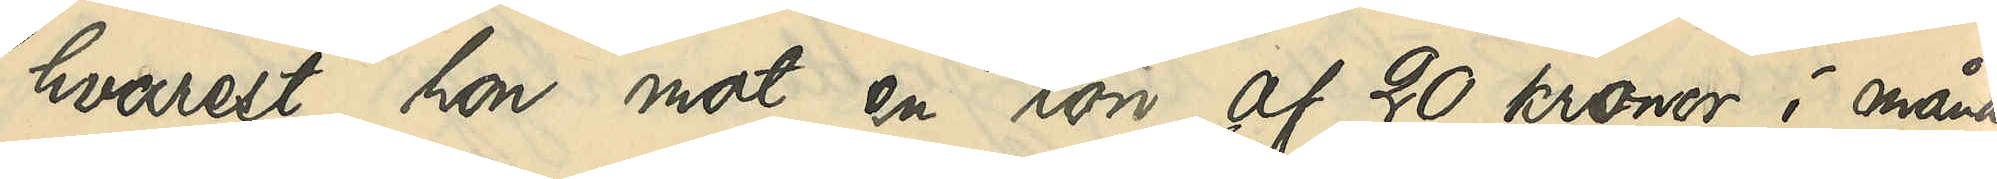hvarest hon mot en lön af 20 kronor i måna¬
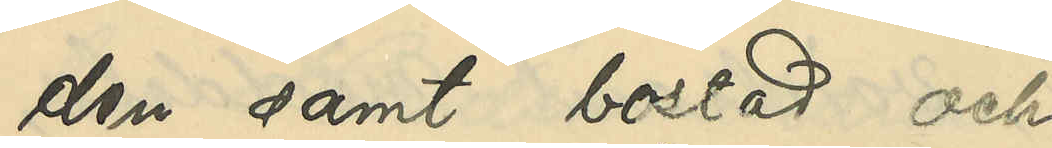den samt bostad och
